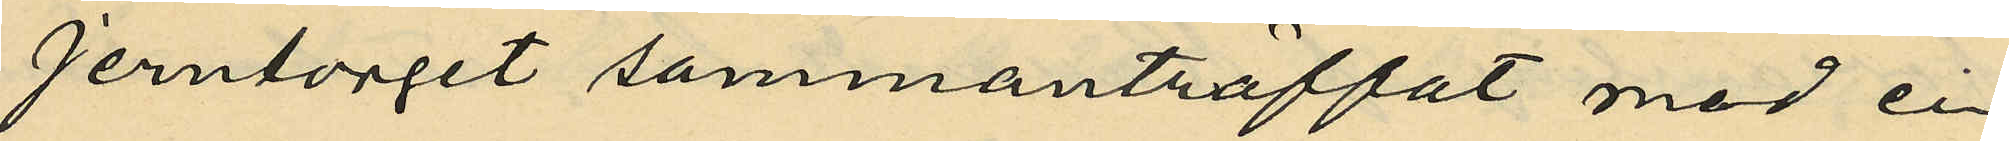Jerntorget sammanträffat med en
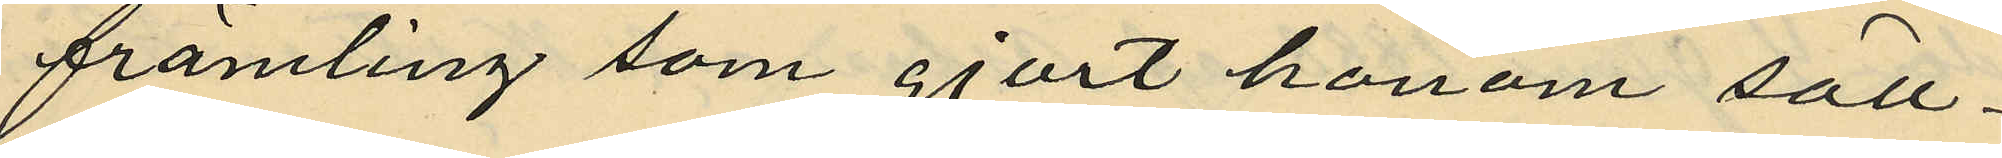främling som gjort honom säll¬
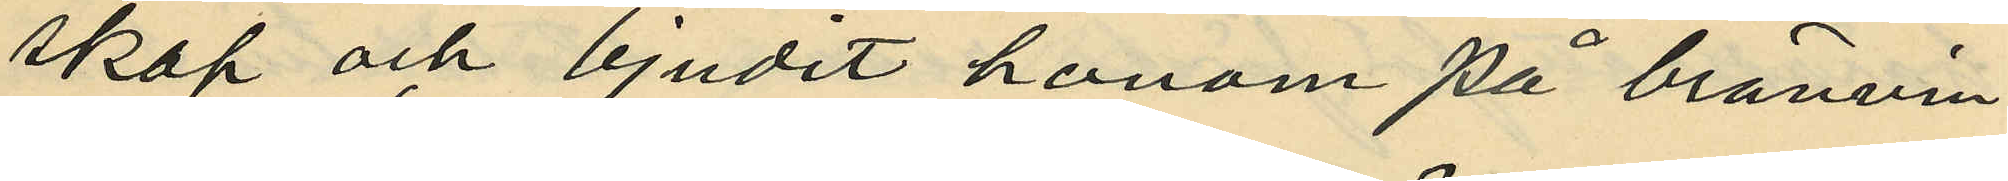skap och bjudit honom på bränvin
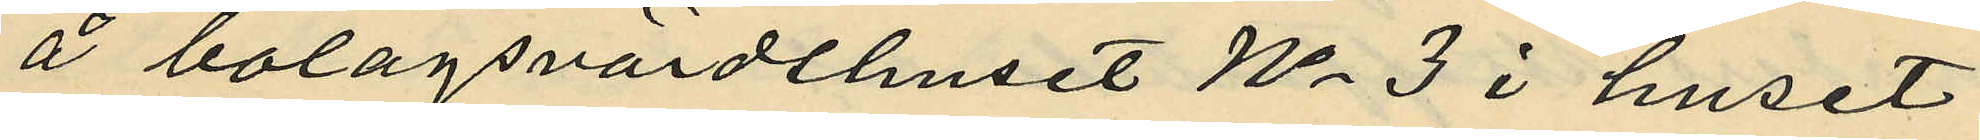å bolagsvärdshuset No 3 i huset
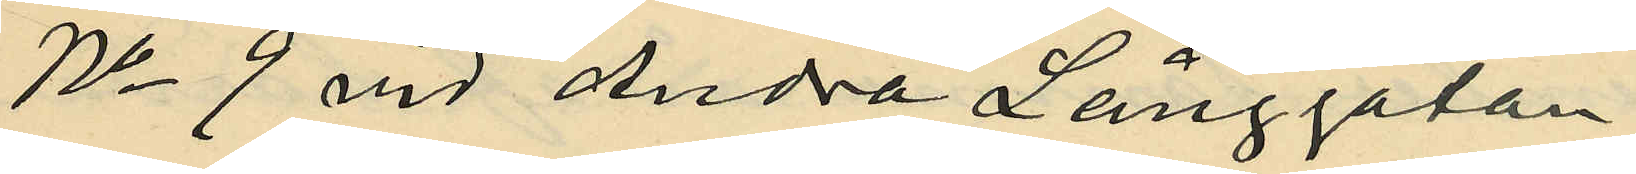No 9 vid Andra Långgatan;
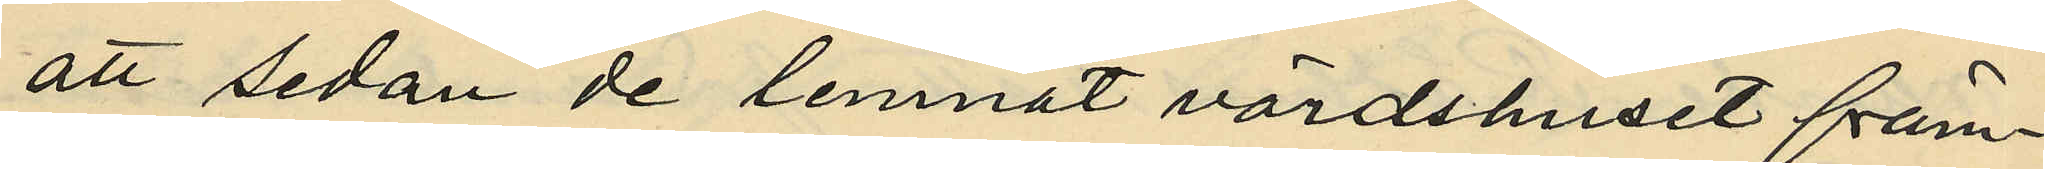att sedan de lemnat värdshuset främ¬
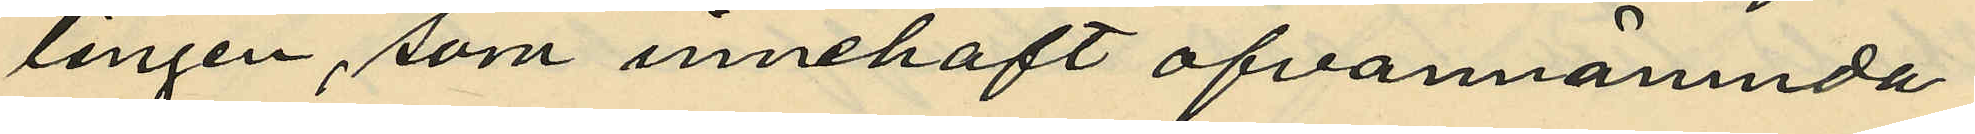lingen, som innehaft ofvannämnda
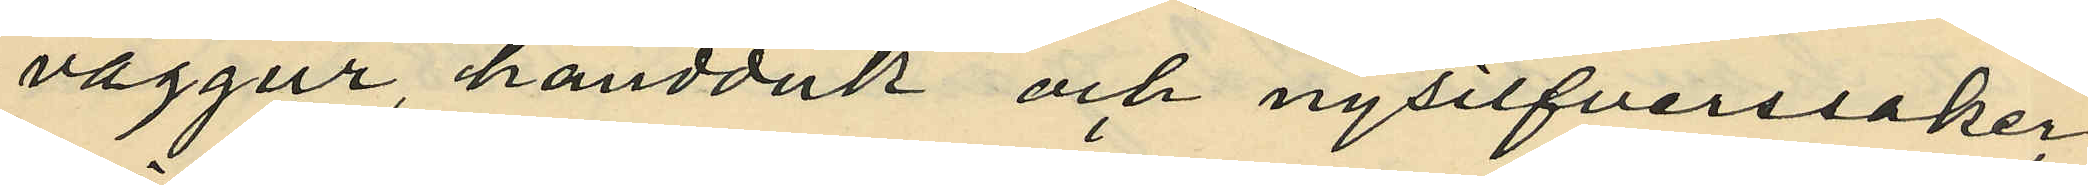väggur, handduk och nysilfverssaker
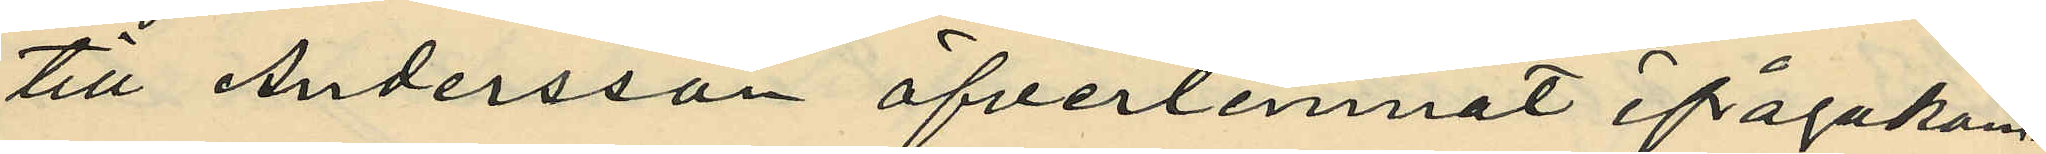till Andersson öfverlemnat ifrågakom¬
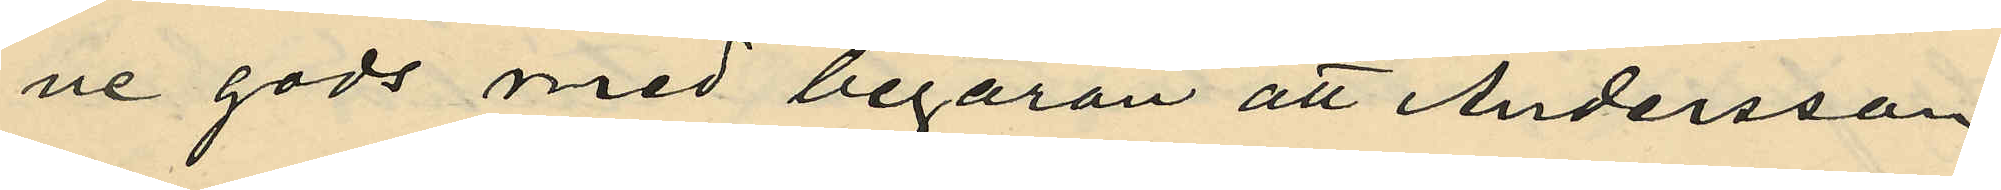ne gods med begäran att Andersson
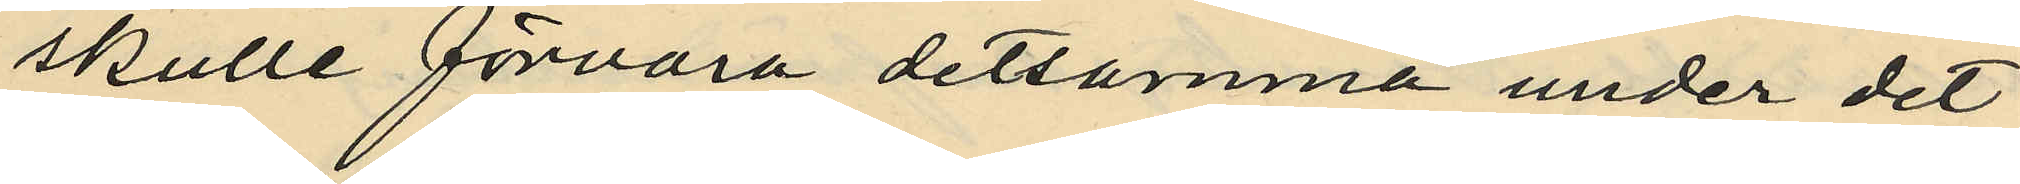skulle förvara detsamma under det
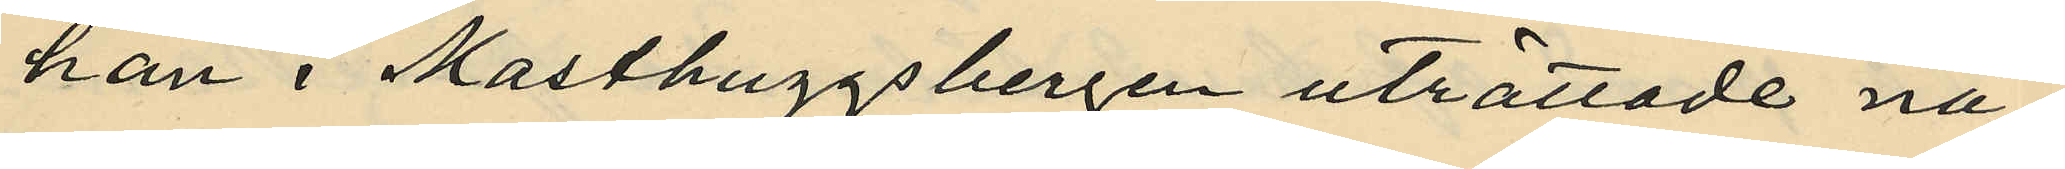han i Masthuggsbergen uträttade nå¬
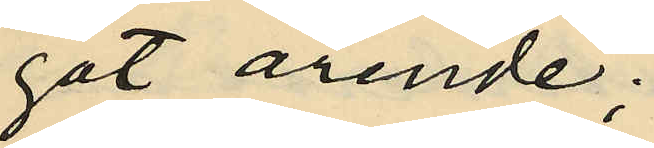got ärende;
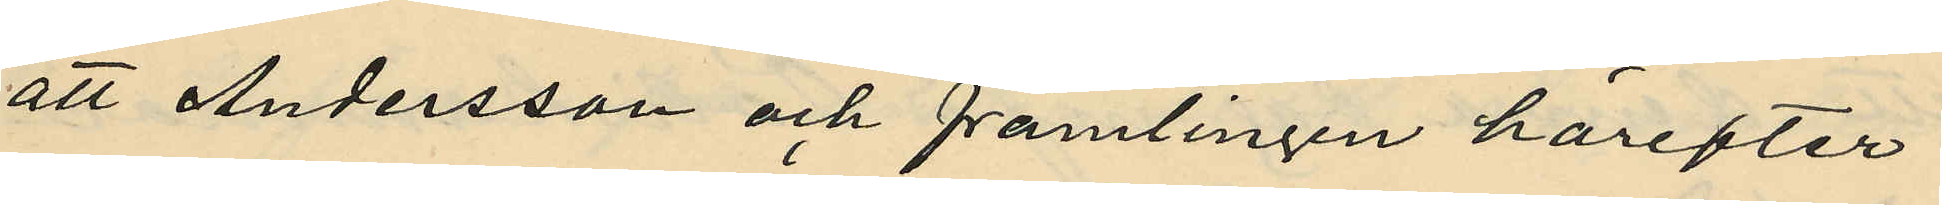att Andersson och främlingen härefter
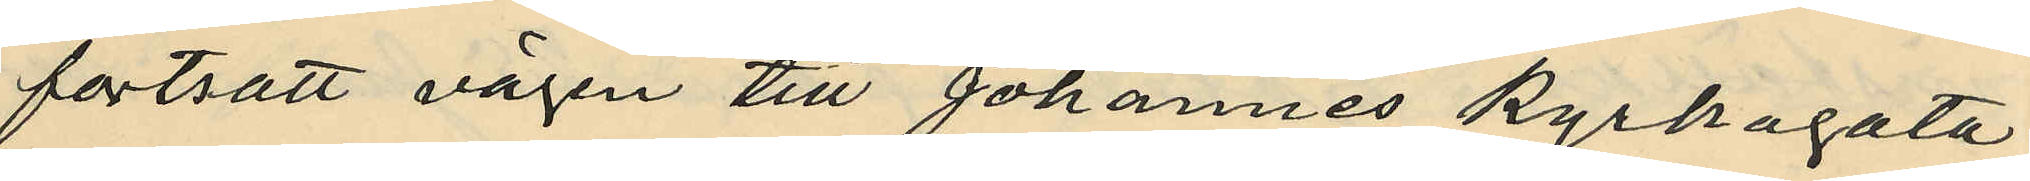fortsatt vägen till Johannes Kyrkogata,
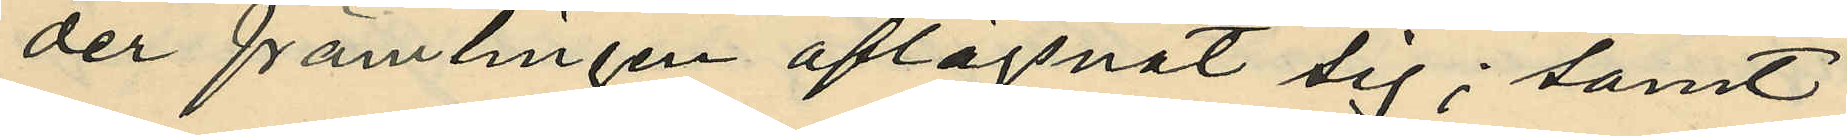der fämlingen aflägsnat sig; samt
